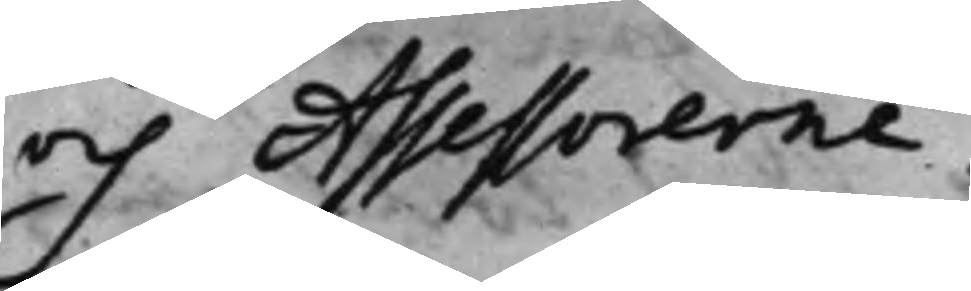och Assessorerne:
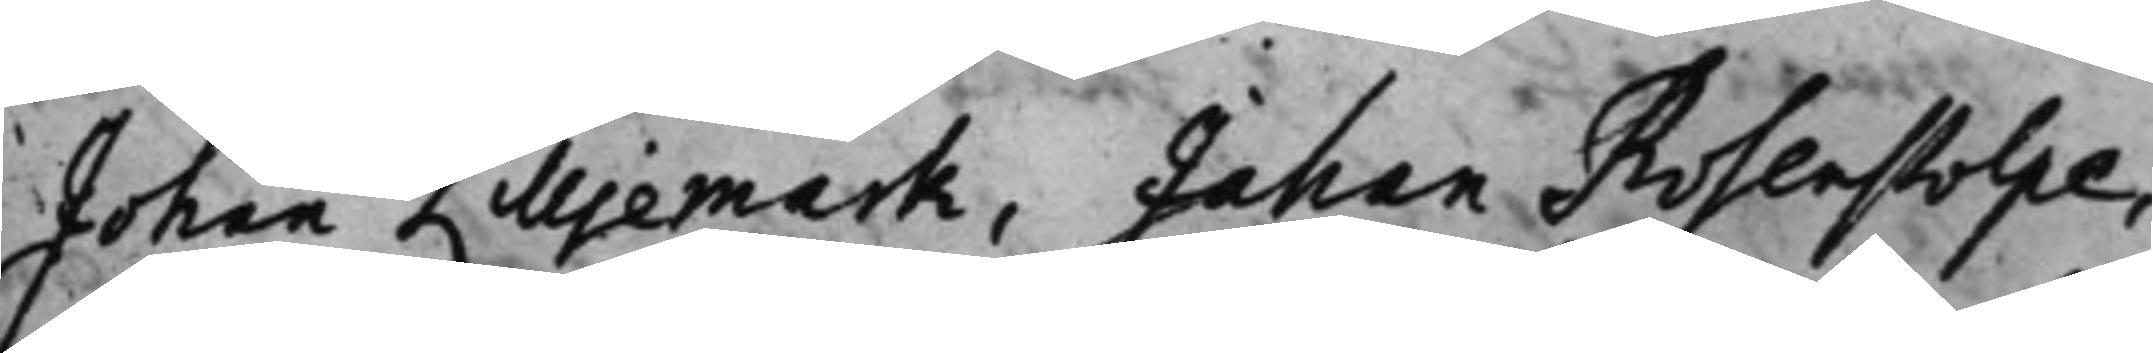Johan Lilljemark, Johan Rosenstolpe,
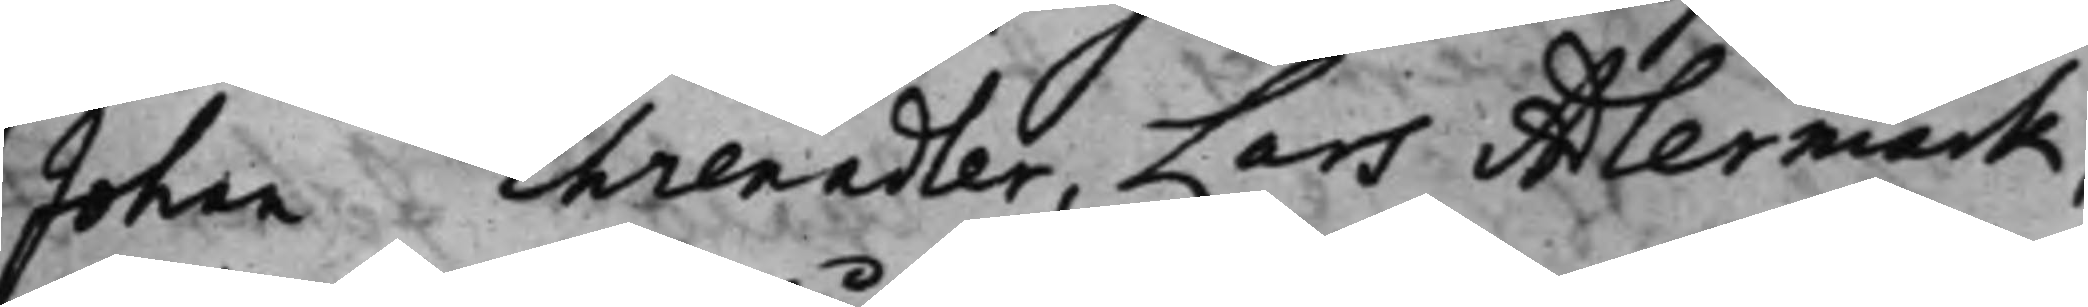Johan Ehrenadler, Lars Adlermark,
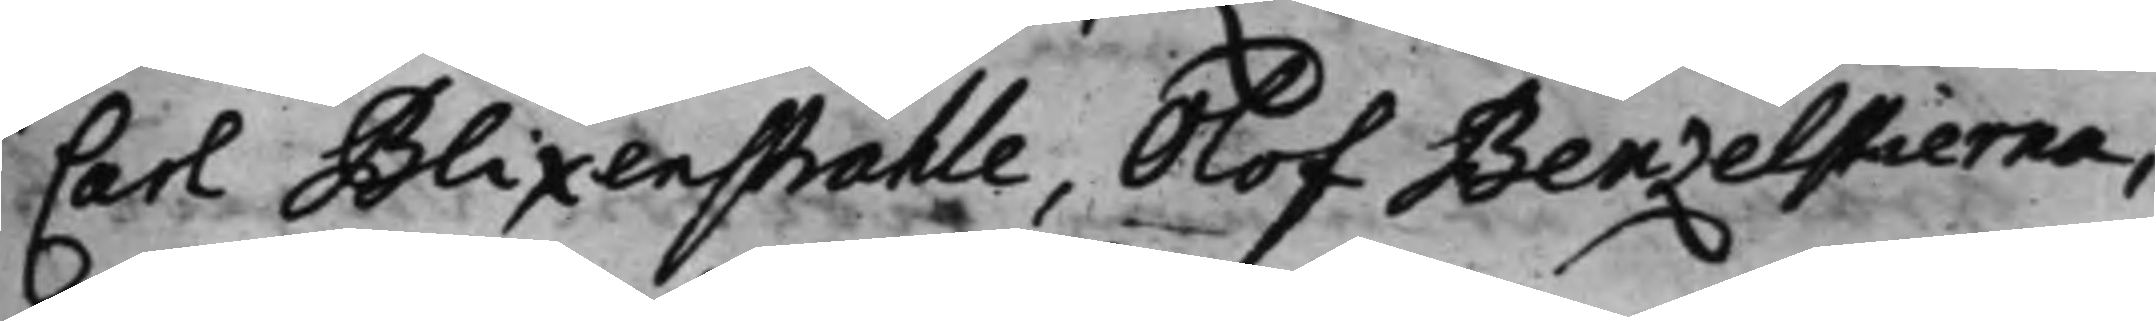Carl Blixenstråhle, Olof Benzelstierna,
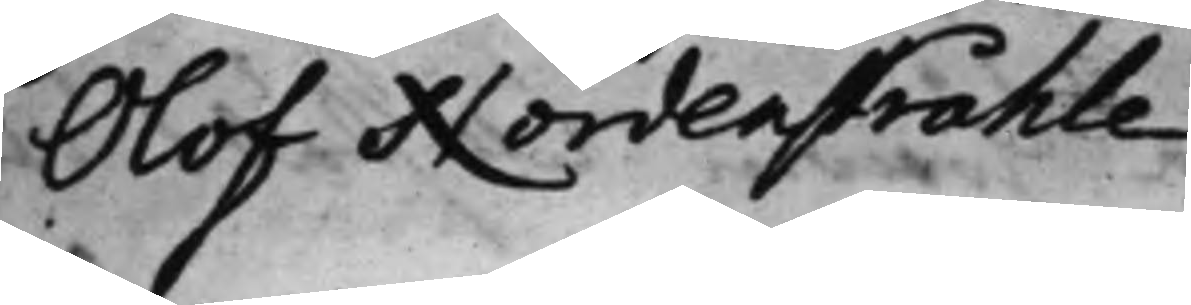Olof Nordenstråhle.
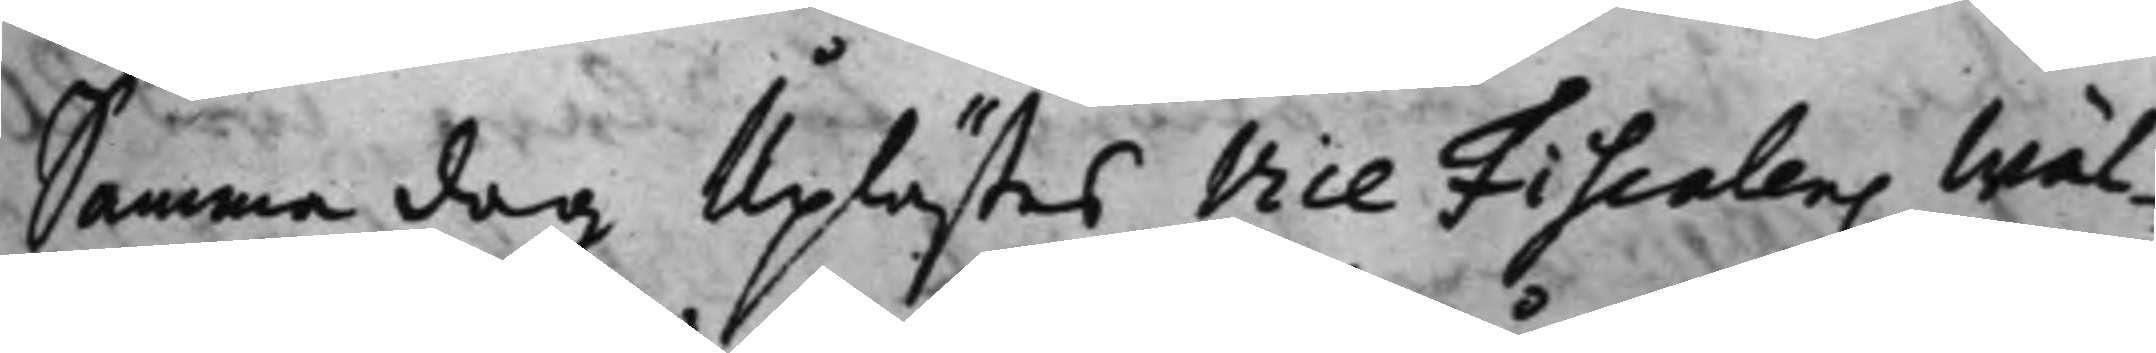Samma dag Uplästes Vice Fiscalens Wäl¬
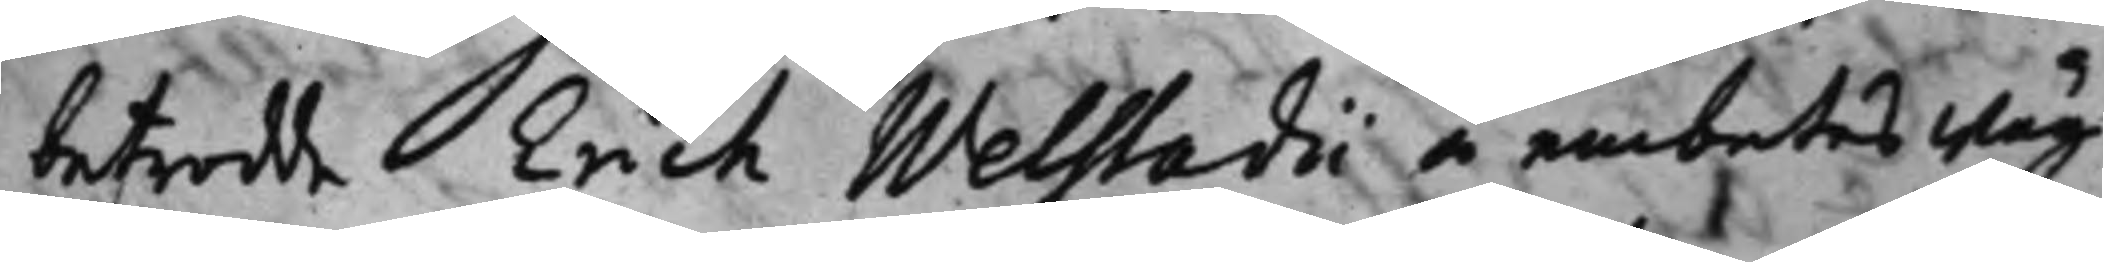betrodde Erich Welstadii å embetes wäg¬
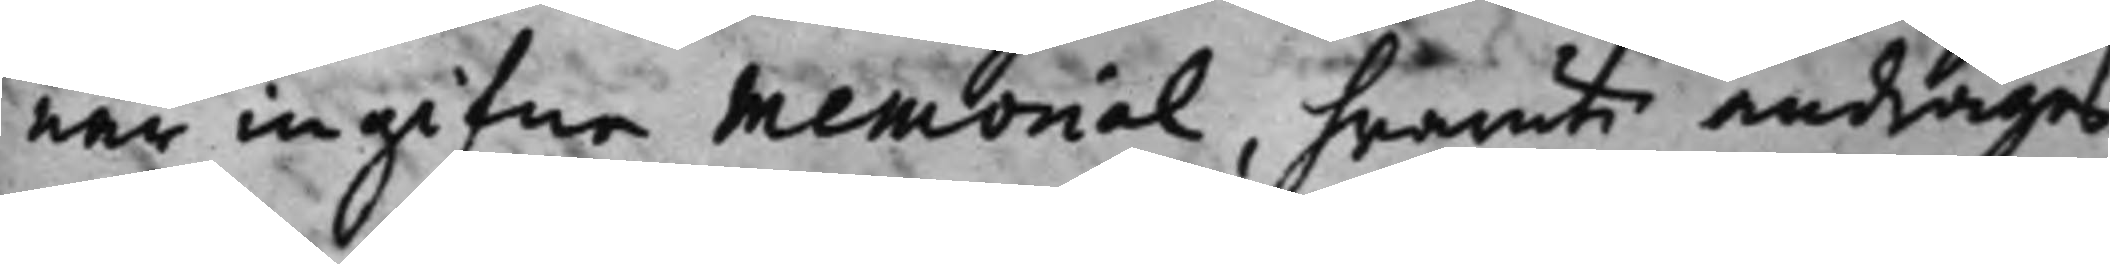när ingifne Memorial, hwaruti andrages
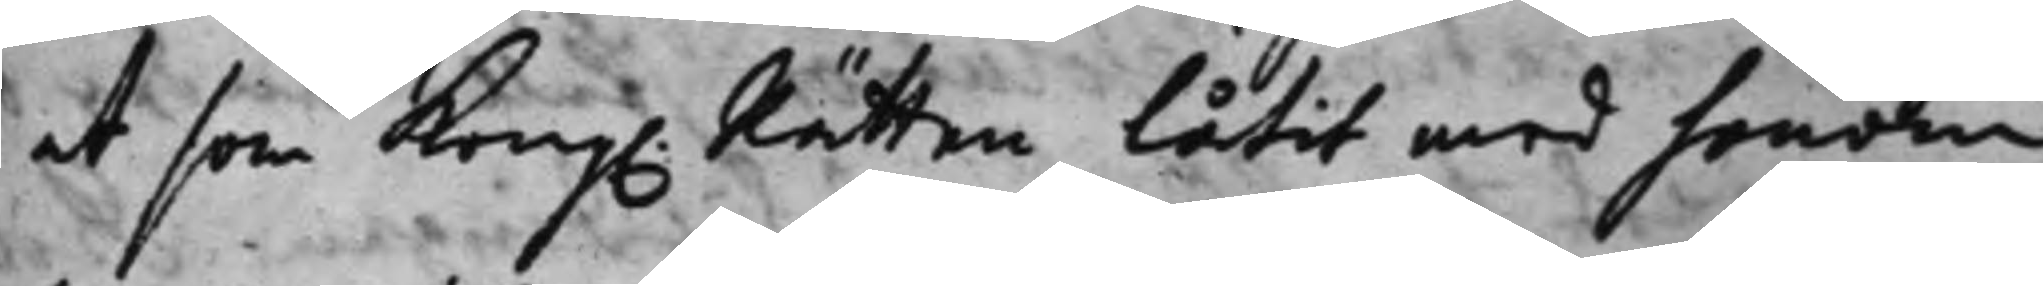at som Kong. Rätten låtit med honom 
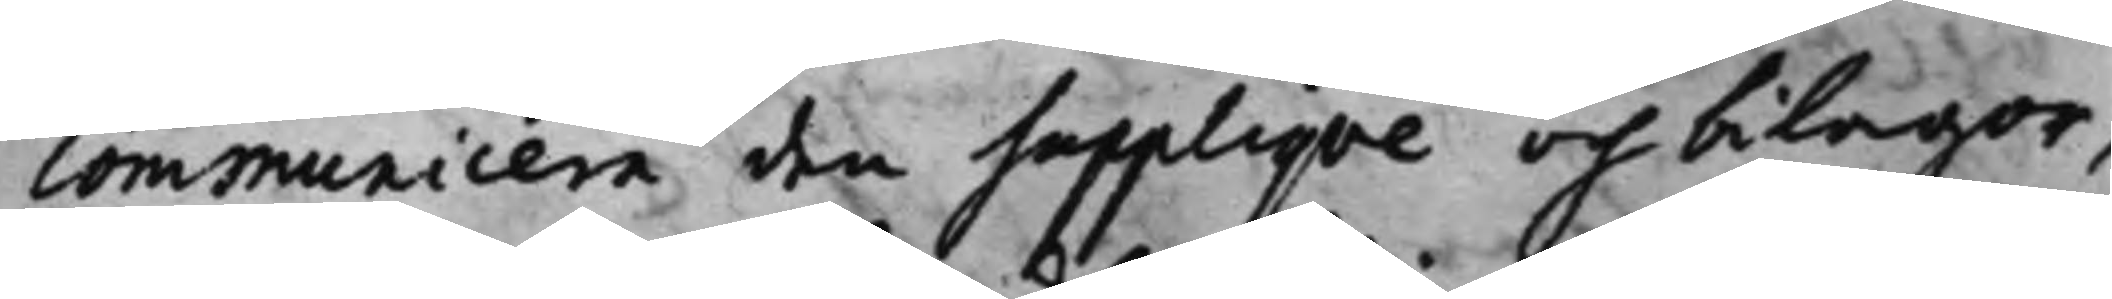communicera den Supplique och bilagor,
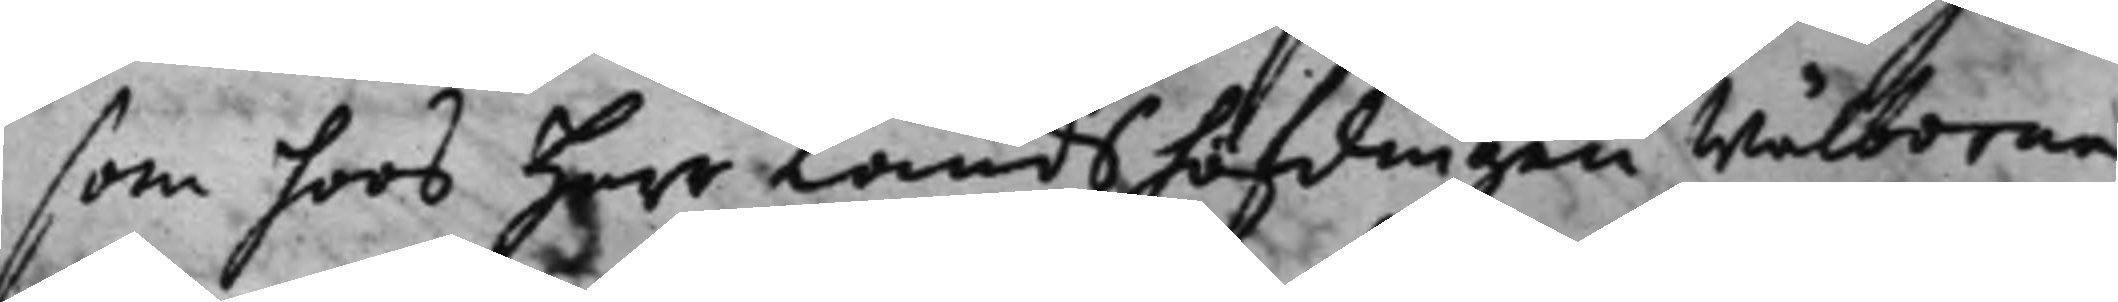som hoos Herr Landshöfdingen Wälborne
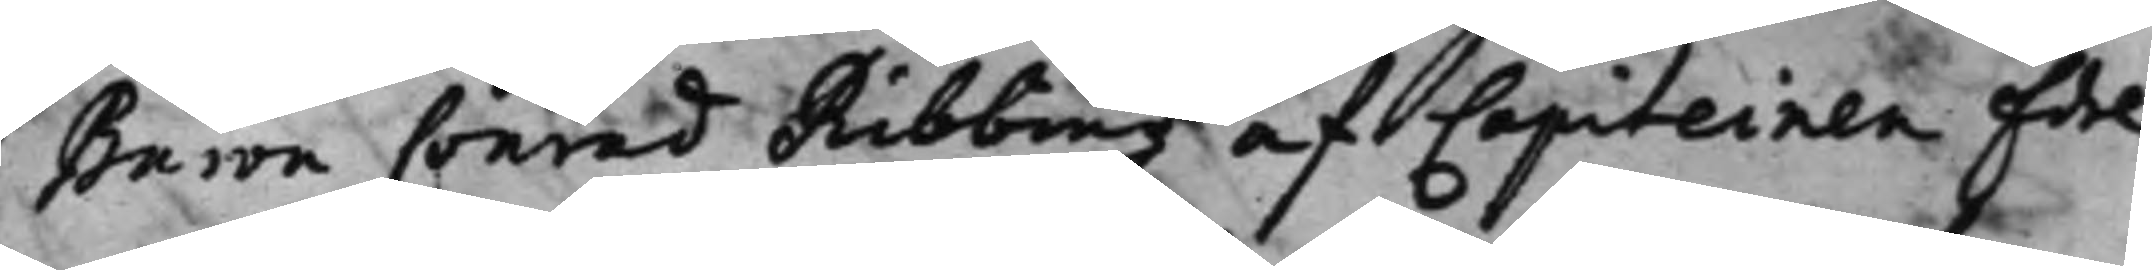Baron Conrad Ribbing af Capiteinen Edel
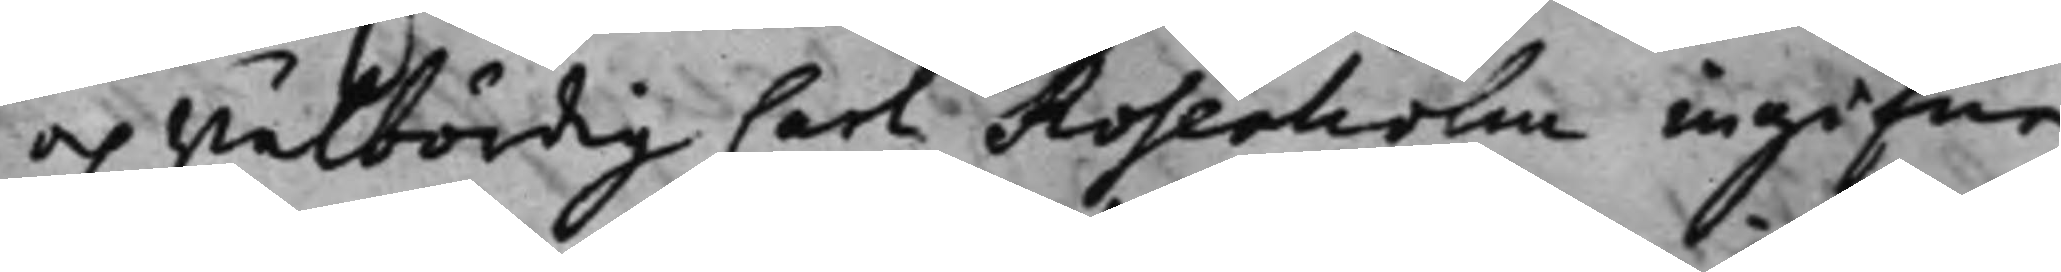och Wälbördig Carl Rosenholm ingifne
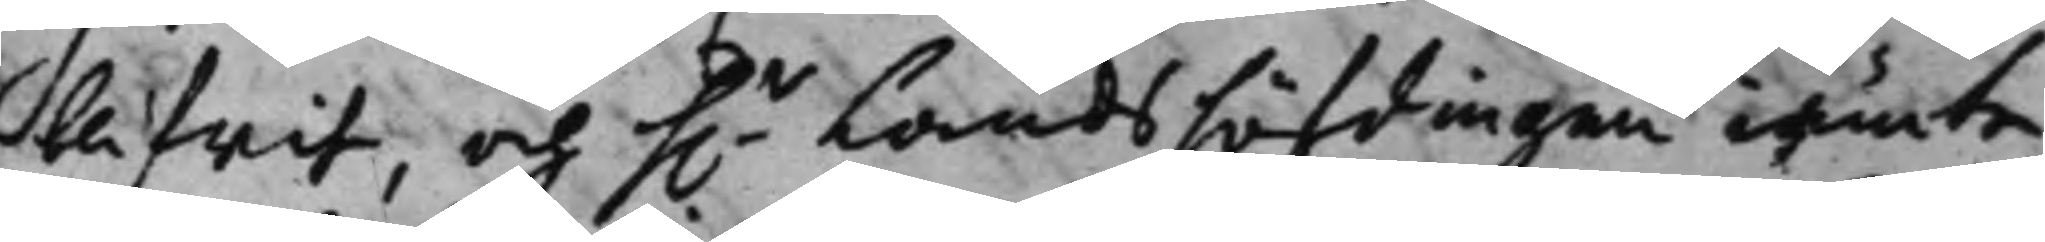blifwit och h.r Landshöfdingen iämte 
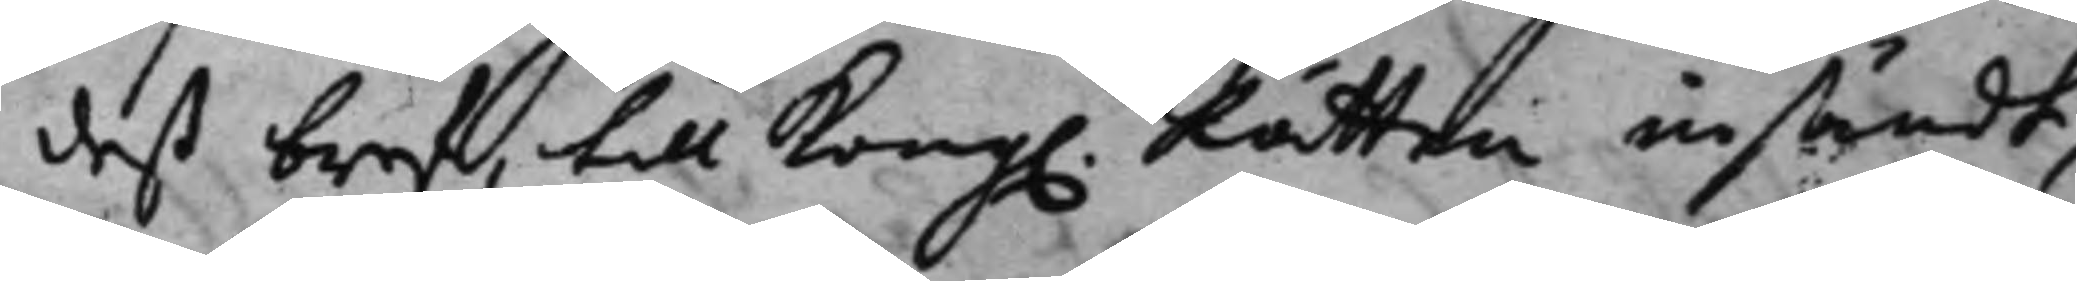deß bref, till Kong. Rätten insändt,
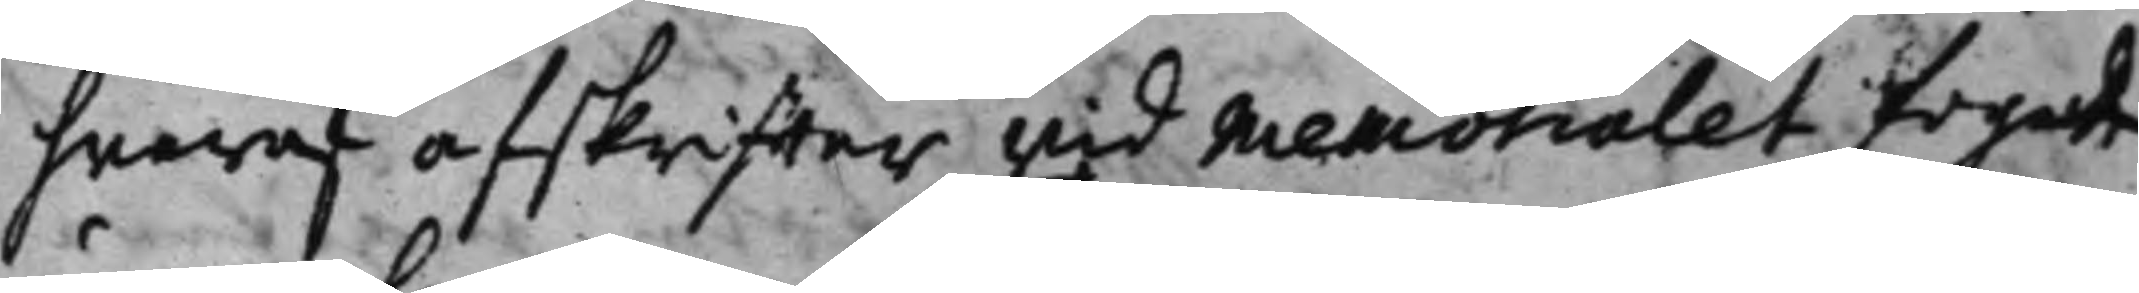hwaraf afskriffter wid Memorialet fogade
